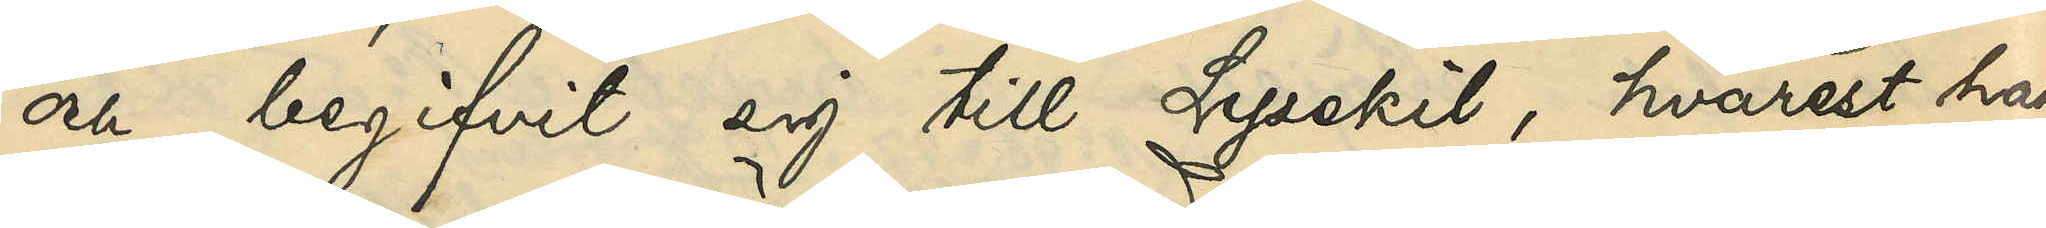och begifvit sig till Lysekil, hvarest han
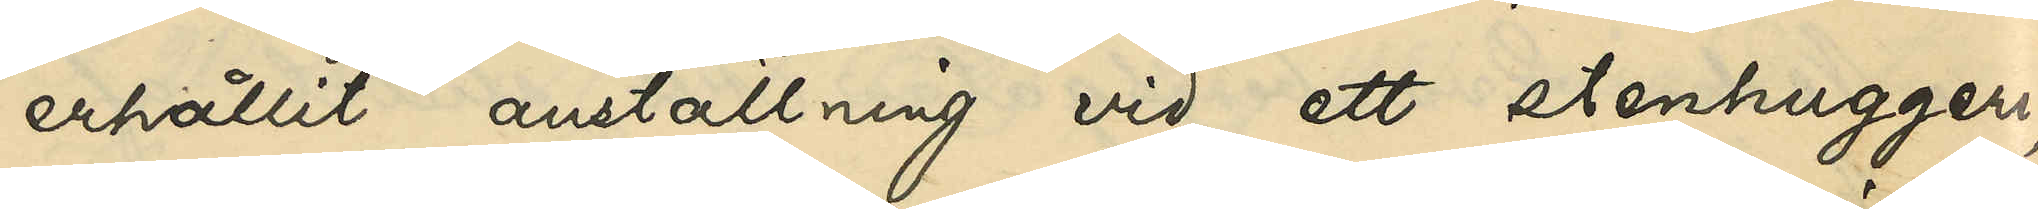erhållit anställning vid ett stenhuggeri;
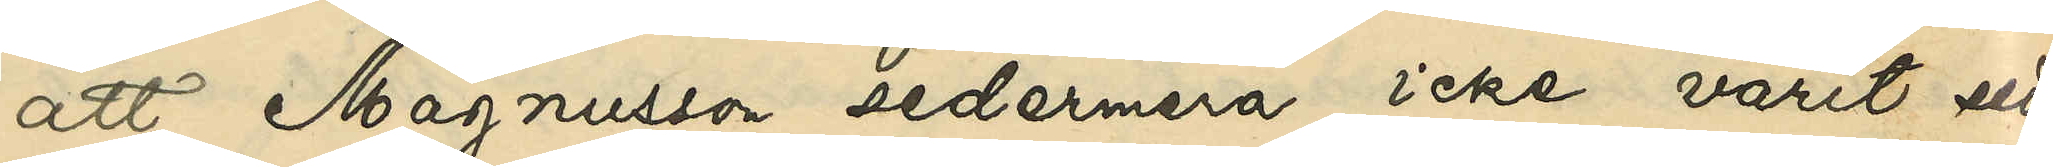att Magnusson sedermera icke varit sedd
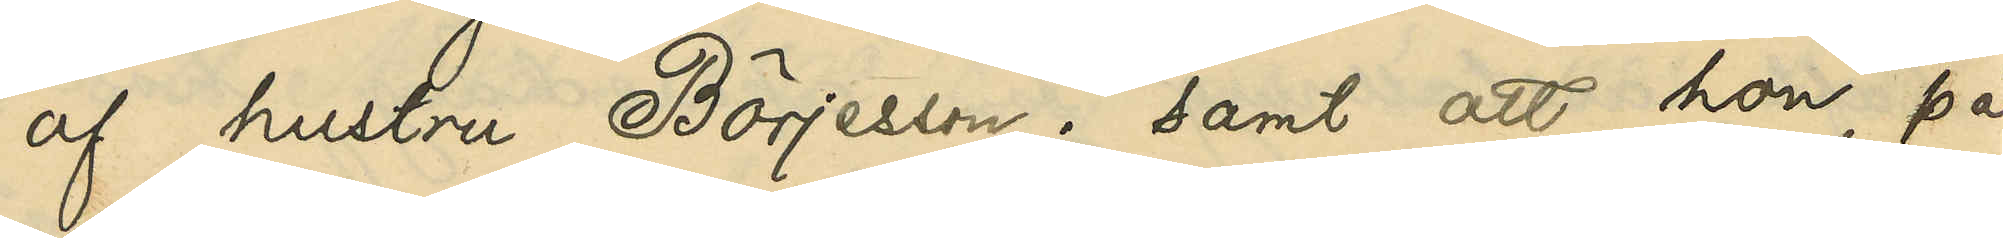af hustru Börjesson; samt att hon, på
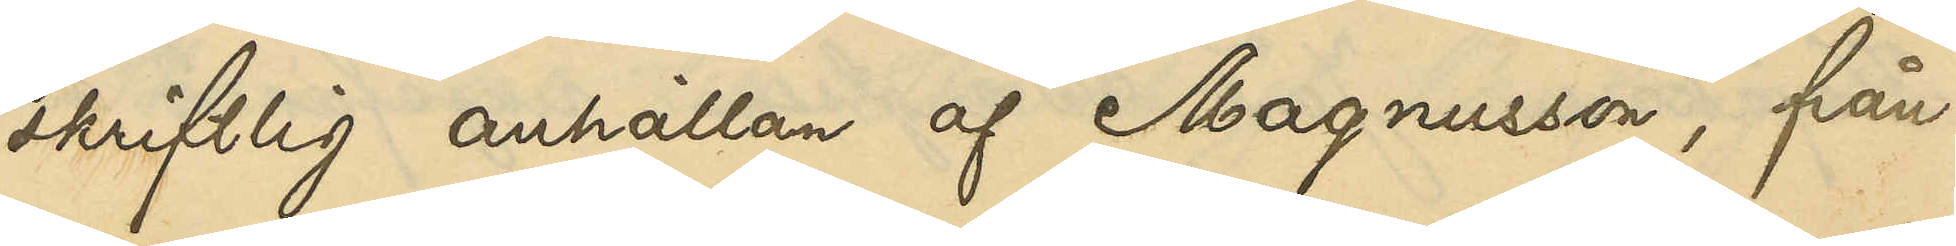skriftlig anhållan af Magnusson, från
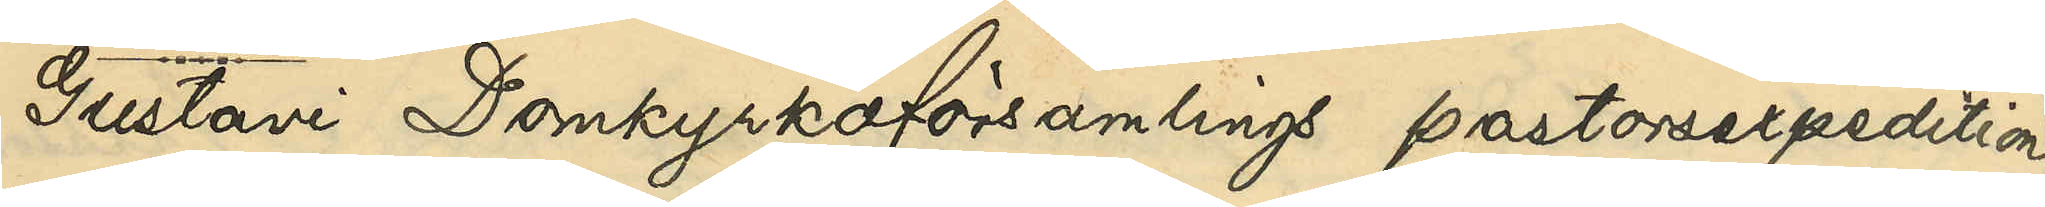Gustavi Domkyrkoförsamlings pastorsexpedition
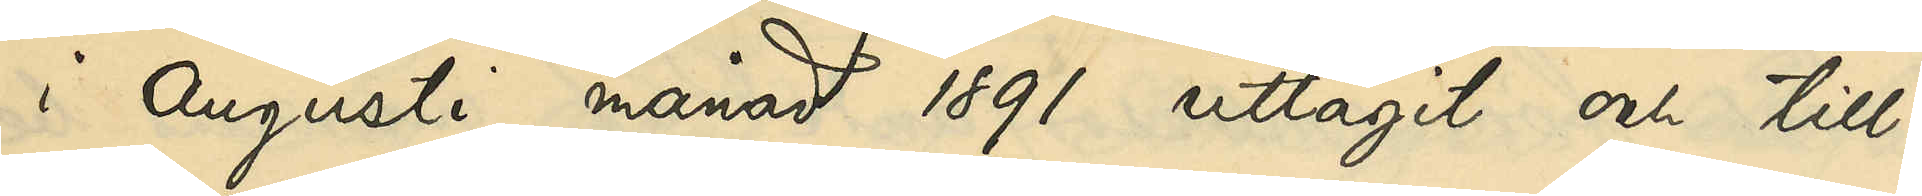i Augusti månad 1891 uttagit och till¬
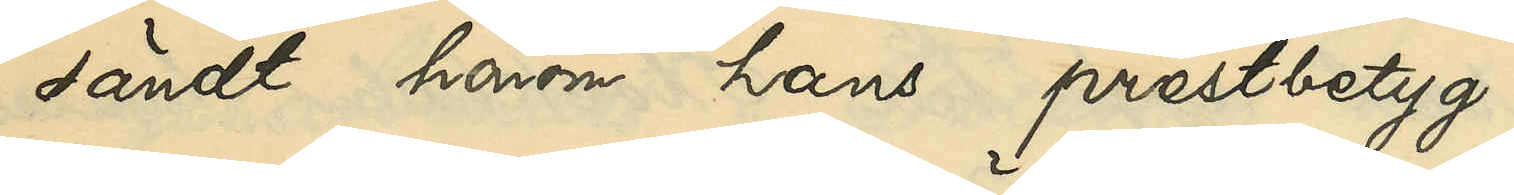sändt honom hans prestbetyg.
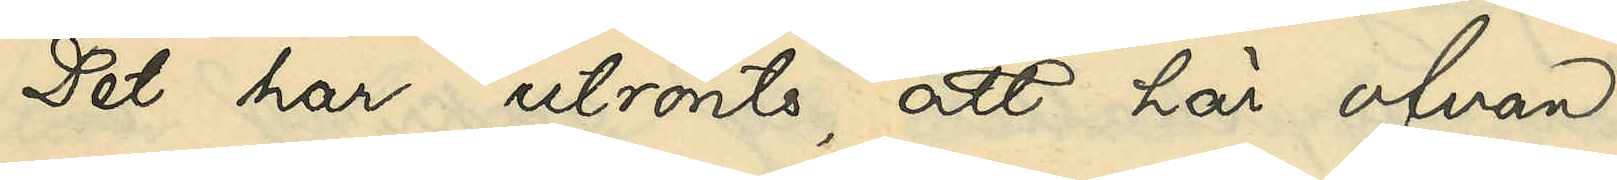Det har utrönts, att här ofvan
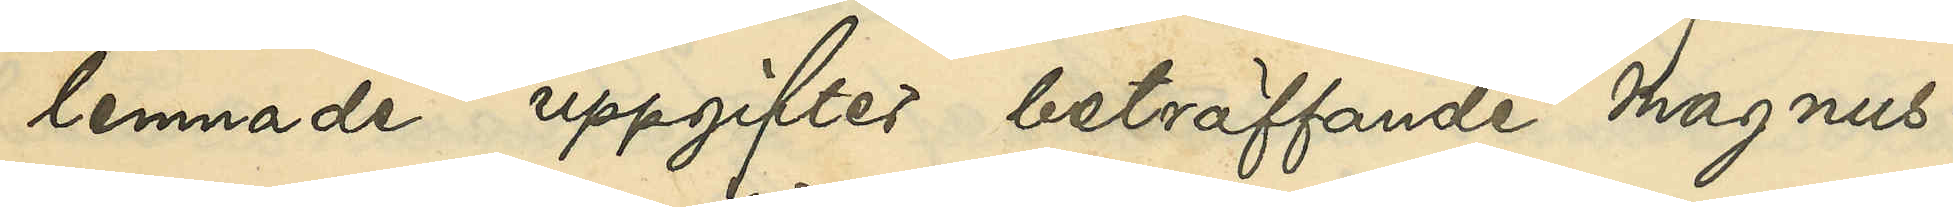lemnade uppgifter beträffande Magnus¬
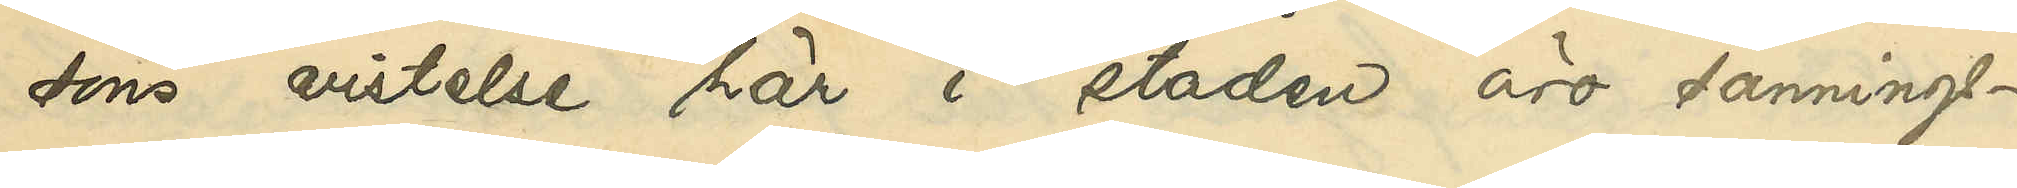sons vistelse här i staden äro sannings¬
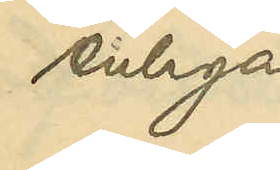enliga.
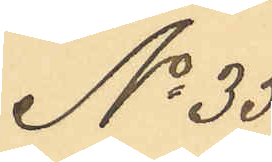No 35
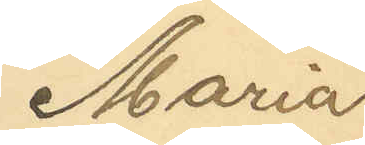Maria
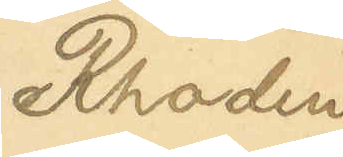Rhodin
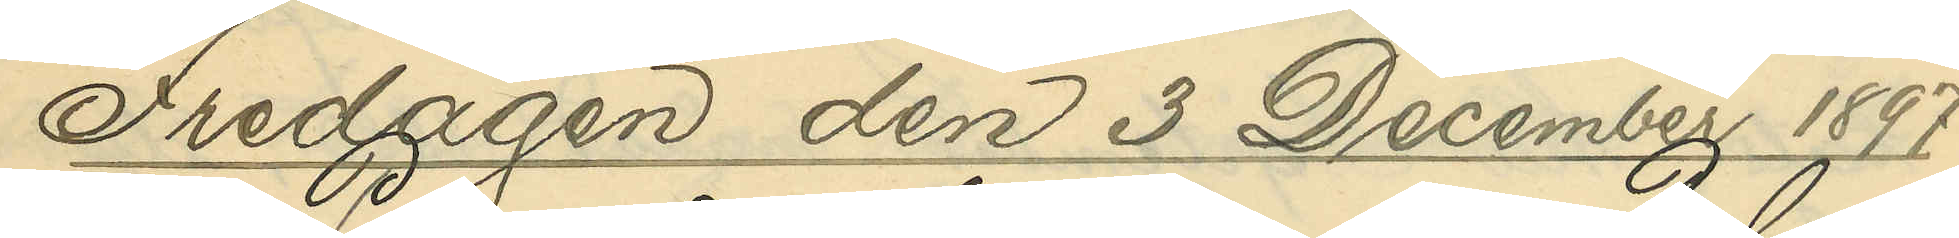Fredagen den 3 December 1897.
